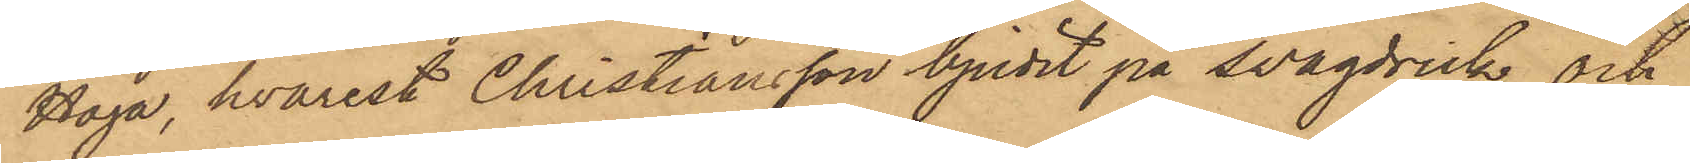Haga, hvarest Christiansson bjudit på svagdrick och
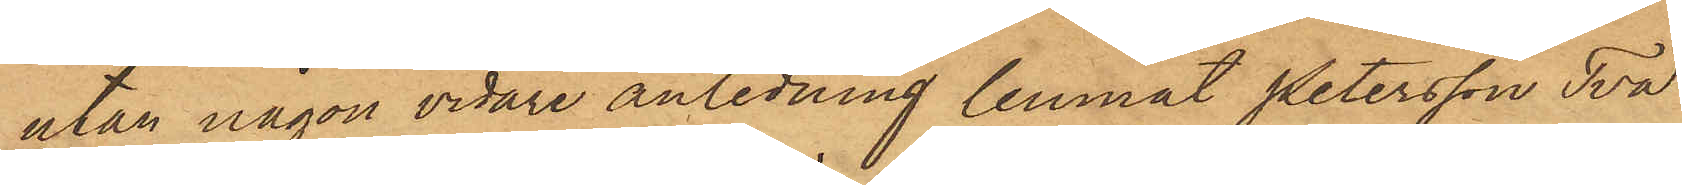utan någon vidare anledning lemnat Petersson Två
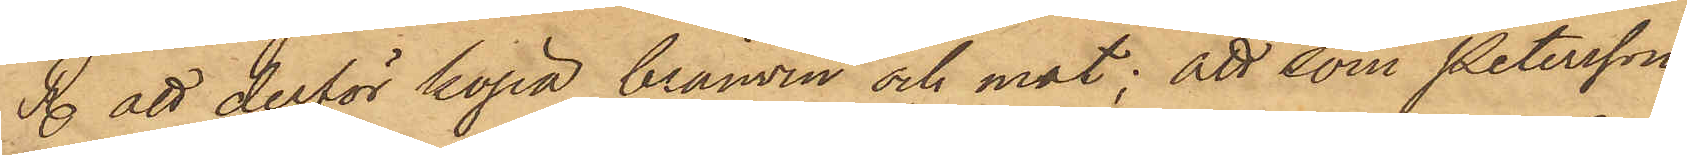Rdr att derför köpa bränvin och mat; att som Petersson
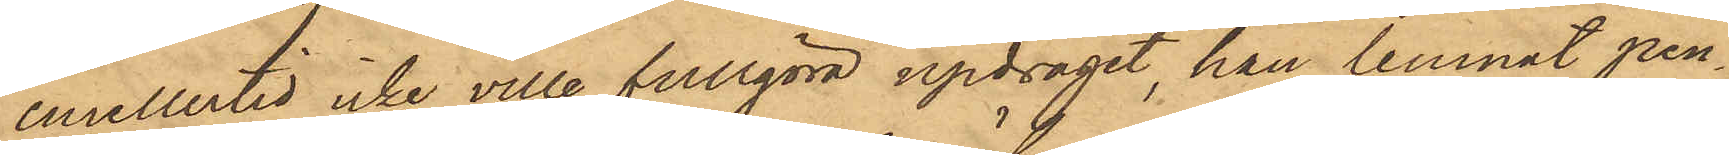emellertid icke ville fullgöra updraget, han lemnat pen¬
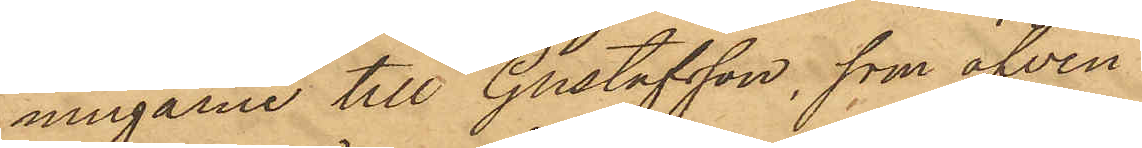ningarne till Gustafsson, som äfven
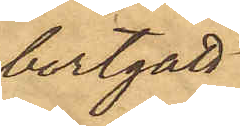bortgått
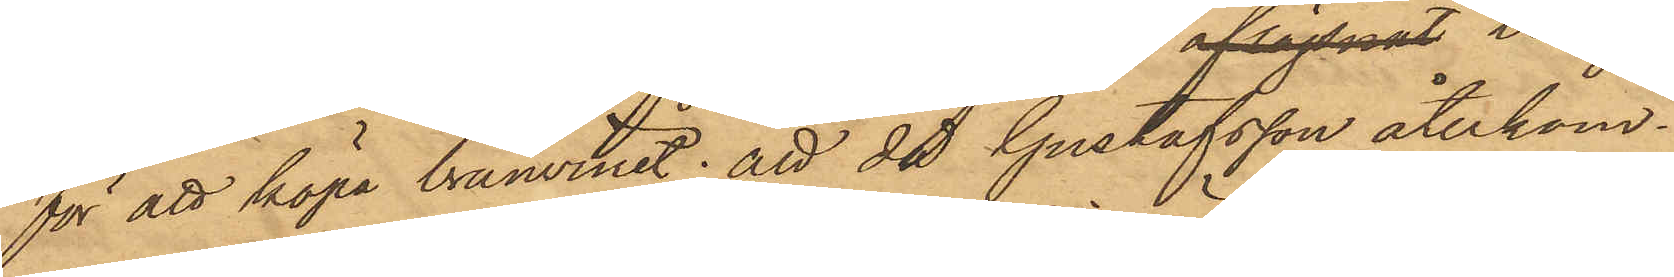för att köpa bränvinet; att då Gustafsson återkom¬
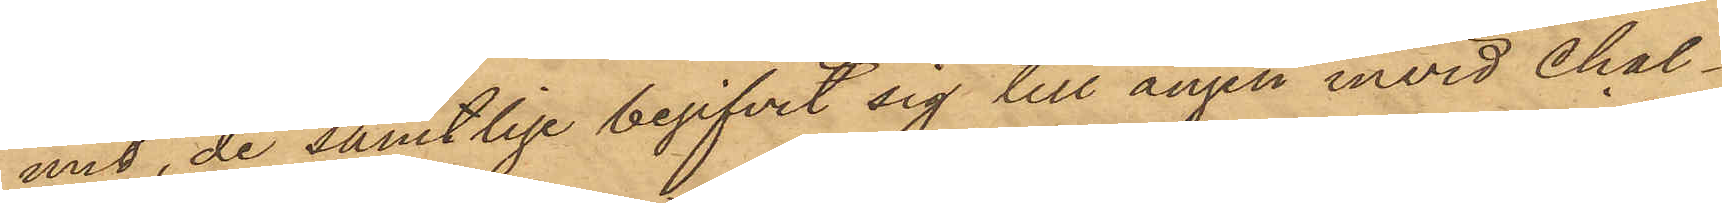mit, de samtlige begifvit sig till ängen invid Chal¬
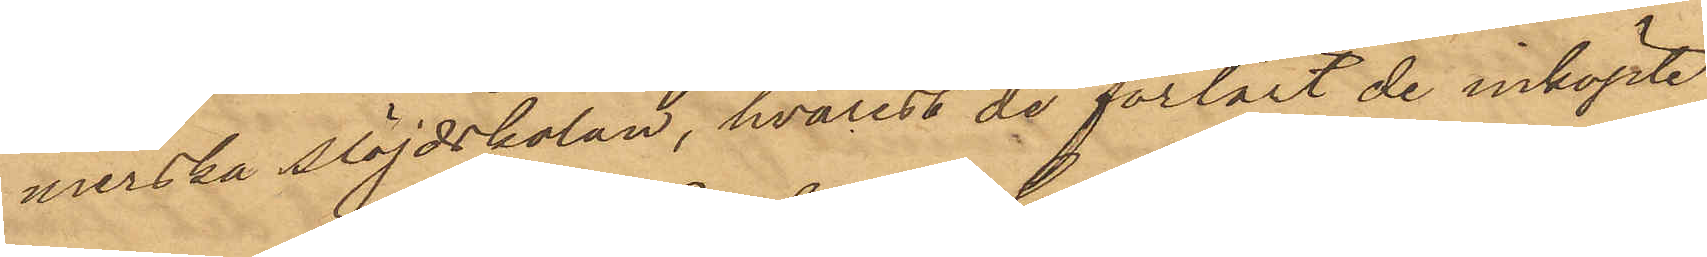merska Slöjdskolan, hvarest de förtärt de inköpte
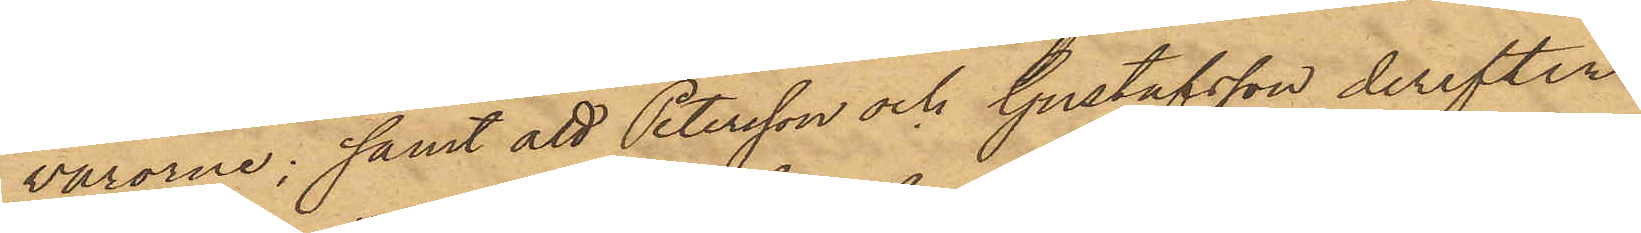varorne; samt att Petersson och Gustafsson derefter
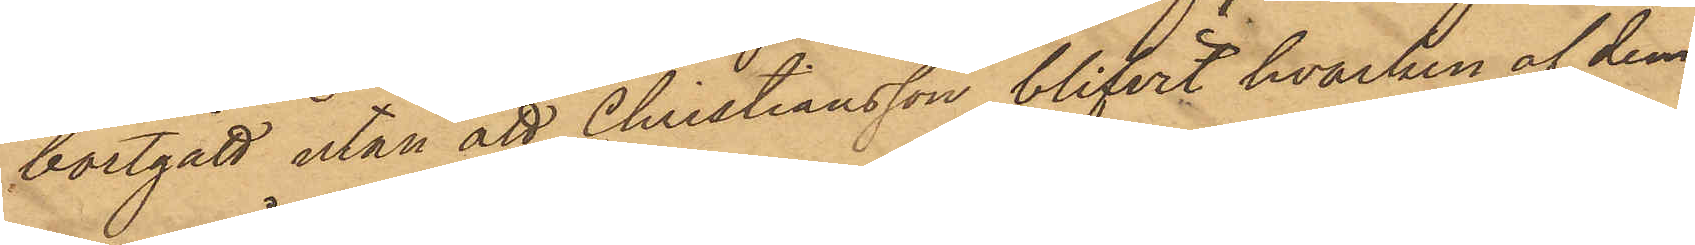bortgått utan att Christiansson blifvit hvarken af dem
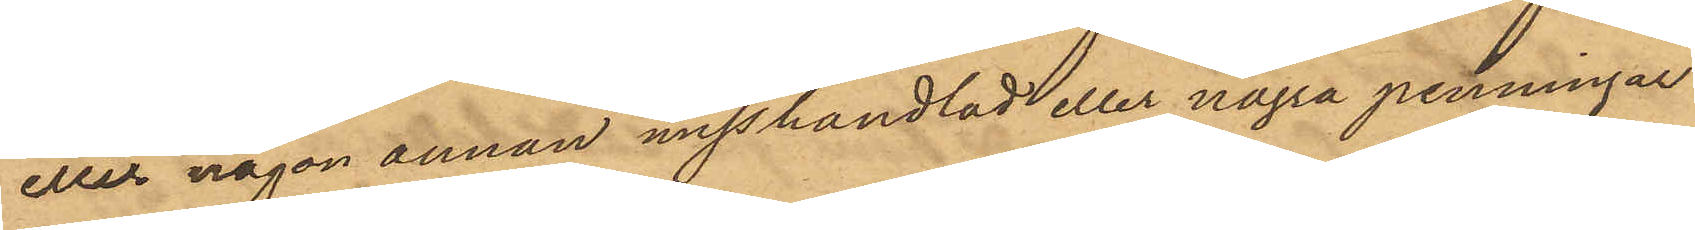eller någon annan misshandlad eller några penningar
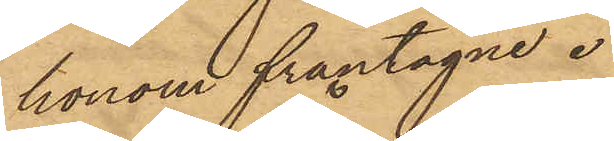honom fråntagne.
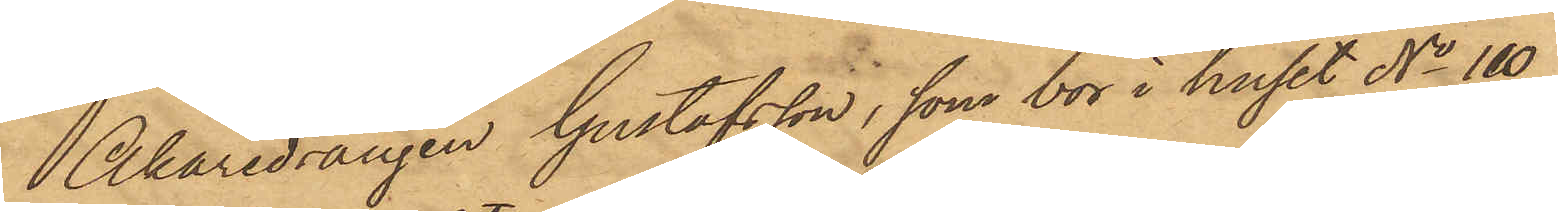Åkaredrängen Gustafsson, som bor i huset No 110
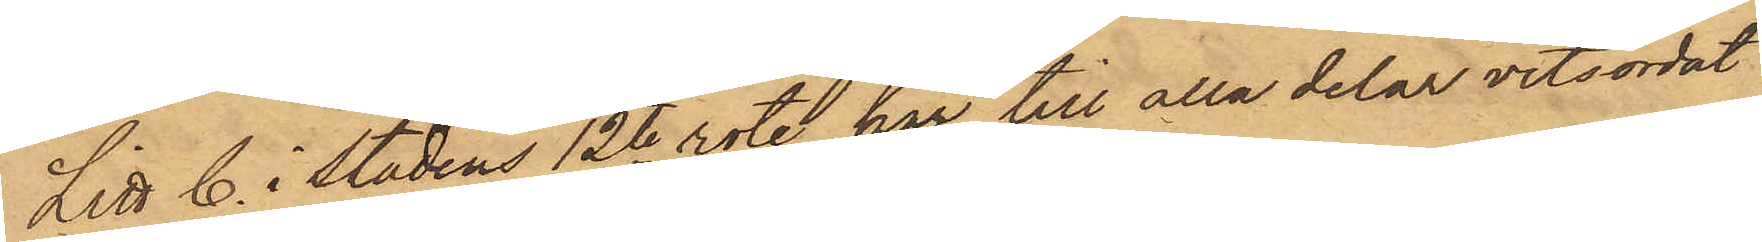Litt C. i Stadens 12te rote, har till alla delar vitsordat
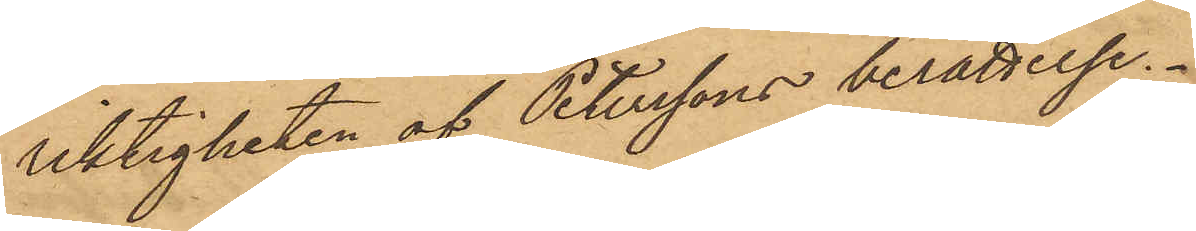riktigheten af Peterssons berättelse.
